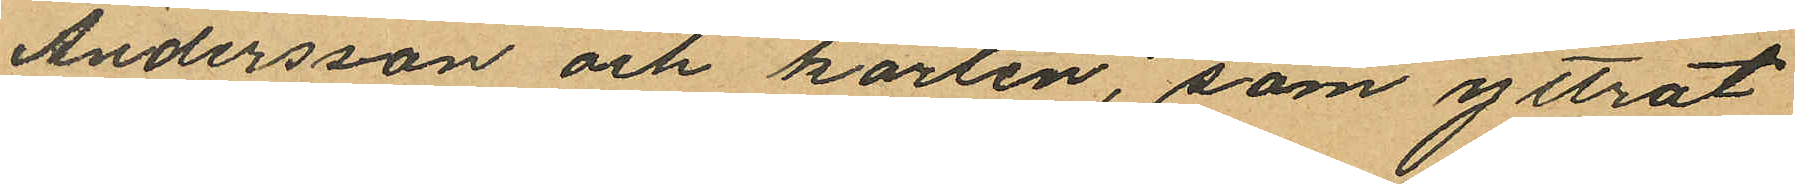Andersson och karlen, som yttrat
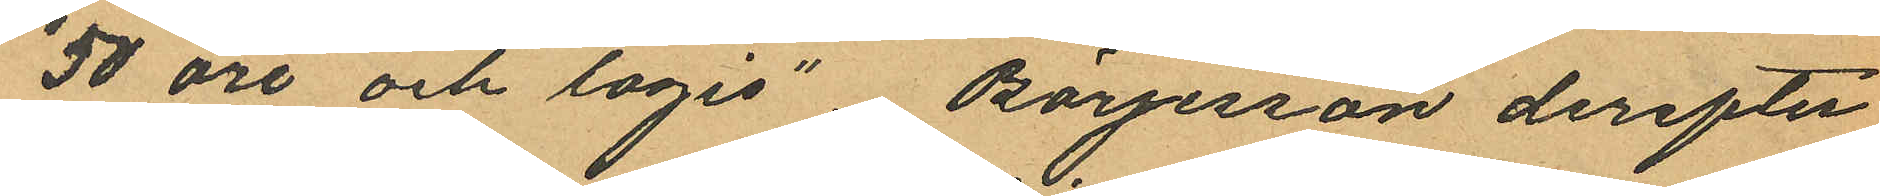"50 öre och logis", Börjesson derefter
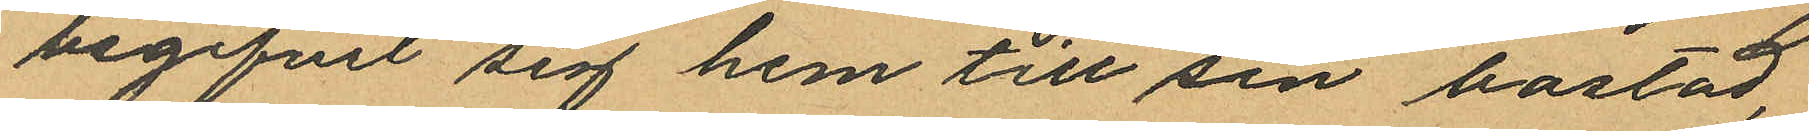begifvit sig hem till sin bostad,
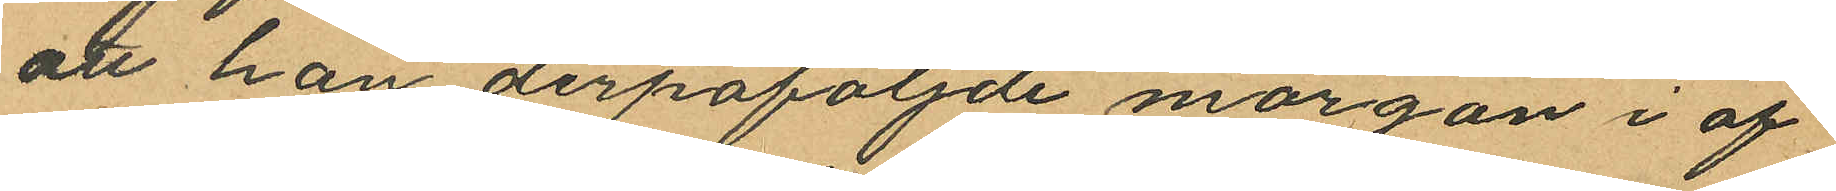att han derpåföljande morgon i af¬
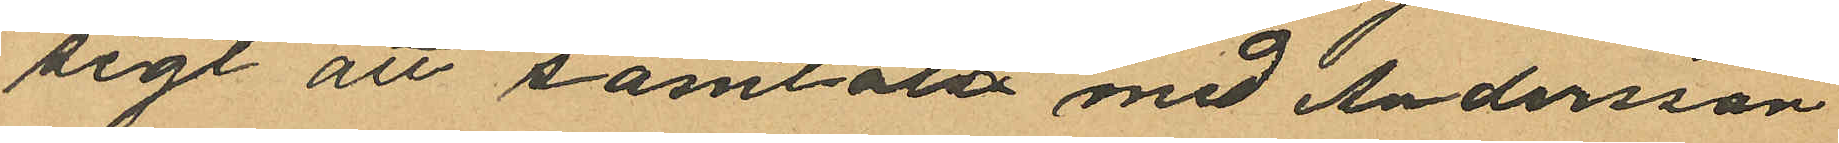sigt att samtala med Andersson
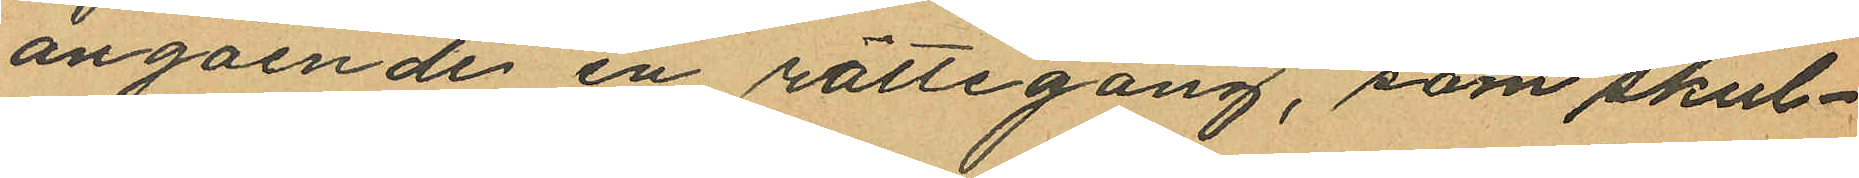angående en rättegång, som skul¬
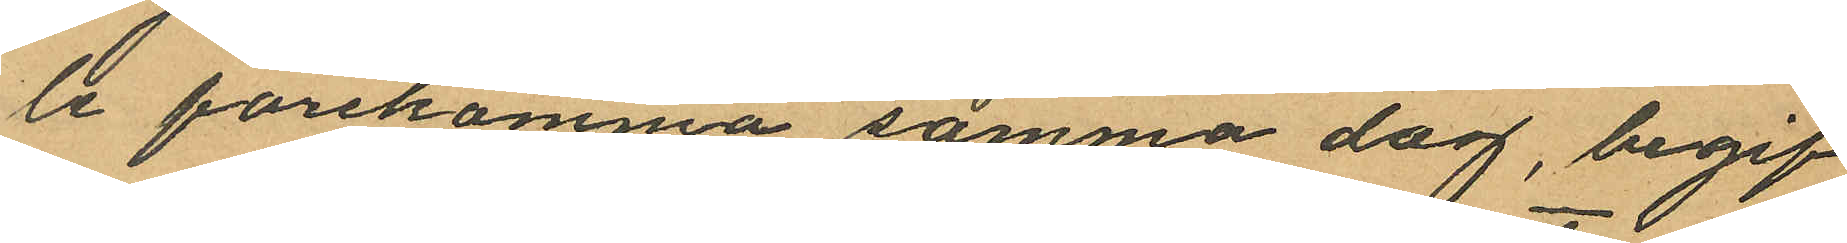le förekomma samma dag, begif¬
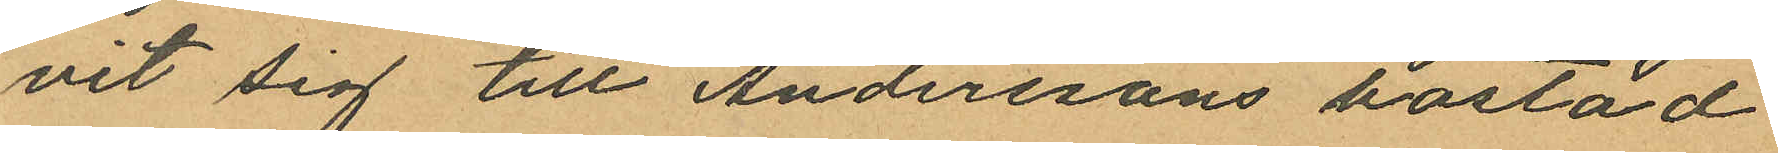vit sig till Anderssons bostad
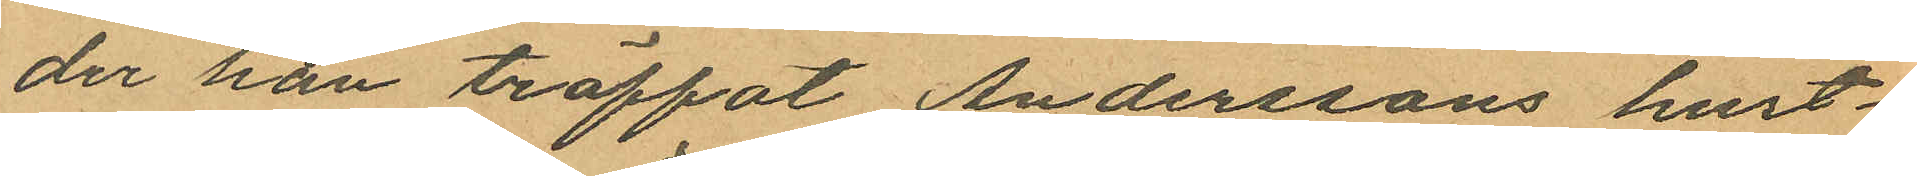der han träffat Anderssons hust¬
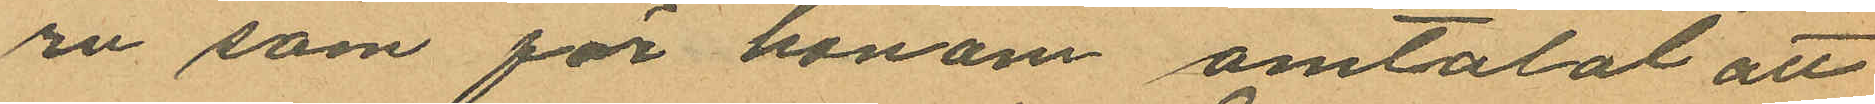ru som för honom omtalat att
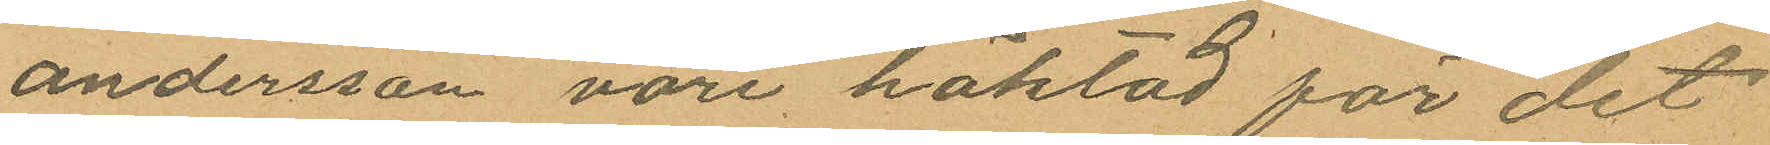Andersson vore häktad för det
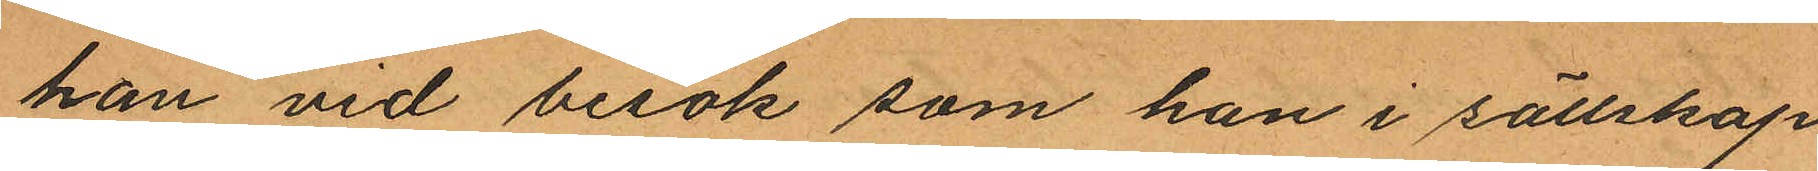han vid besök som han i sällskap
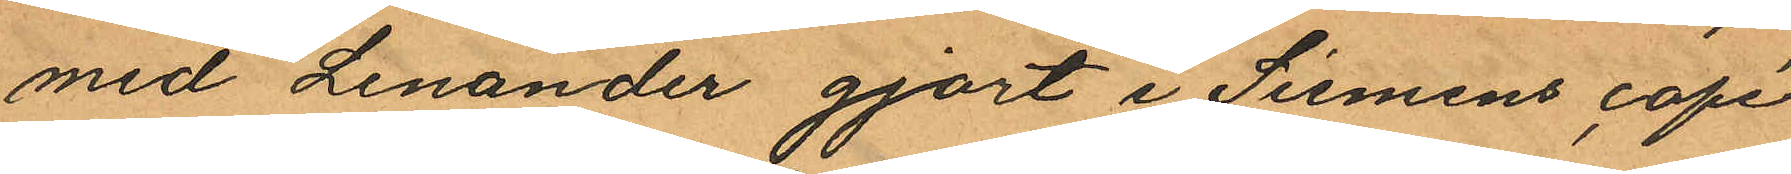med Lenander gjort i Siemens café
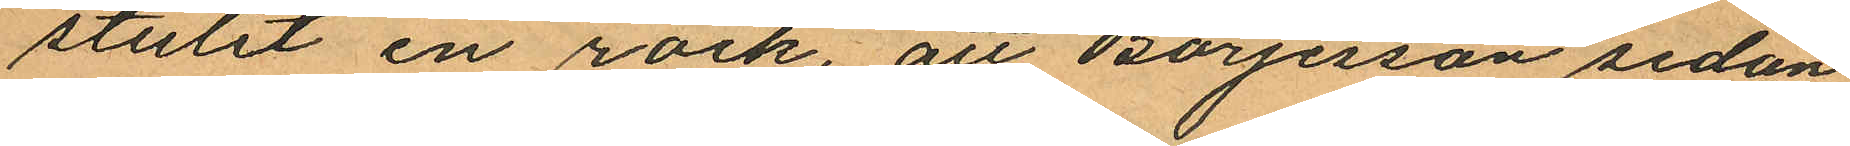stulit en rock, att Börjesson sedan
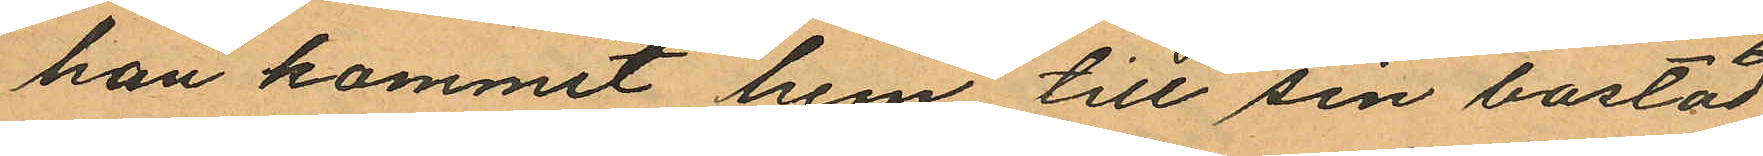han kommit hem till sin bostad
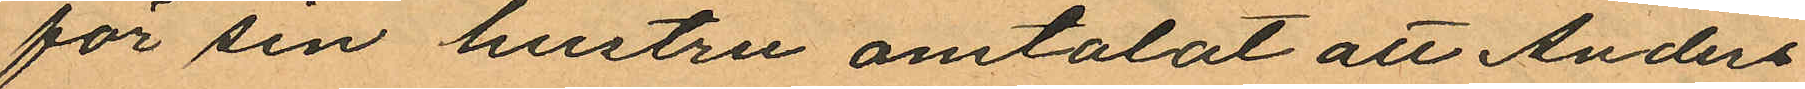för sin hustru omtalat att Anders¬
